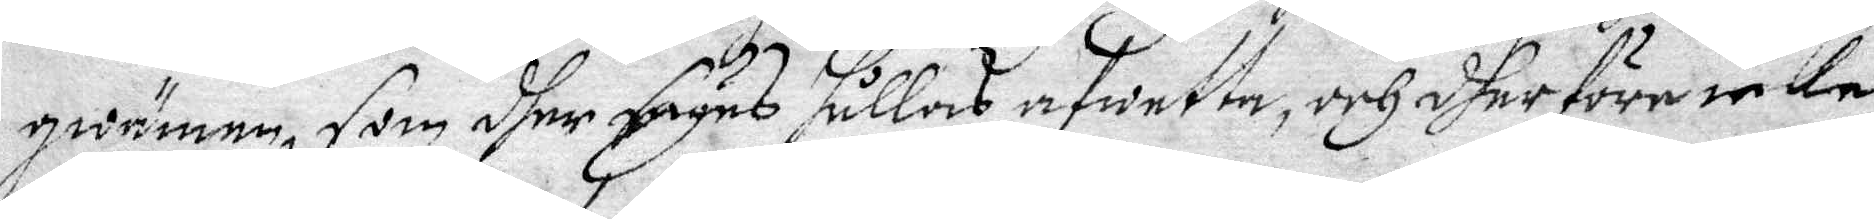qwämen, som dher säges hålles afwetta, och dher före icka
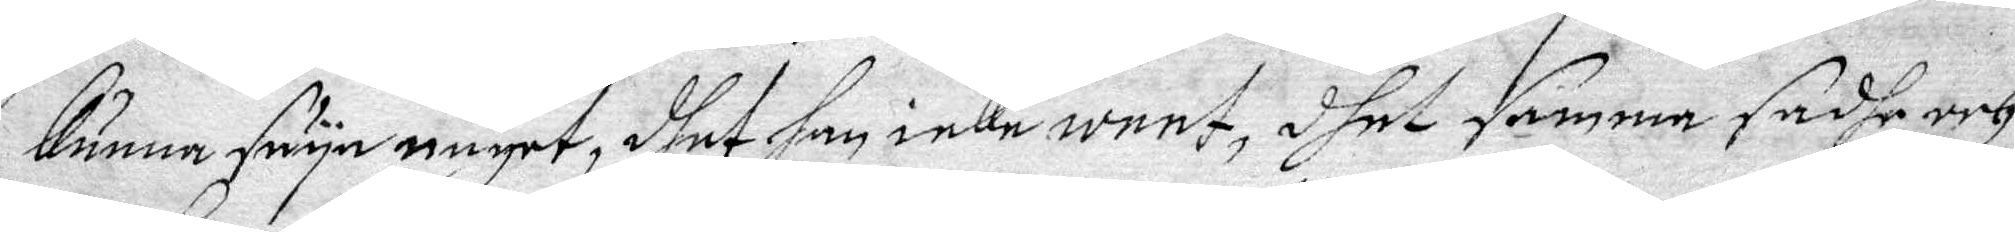kunna säya någet, dhet han icke weet, dhet samma sadhe och
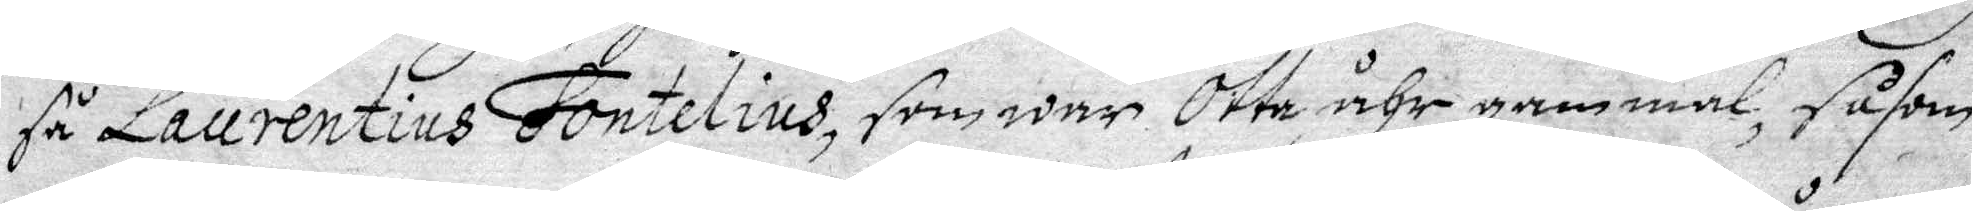så Laurentius Fontelius, som war Otta åhr gammal, såsom
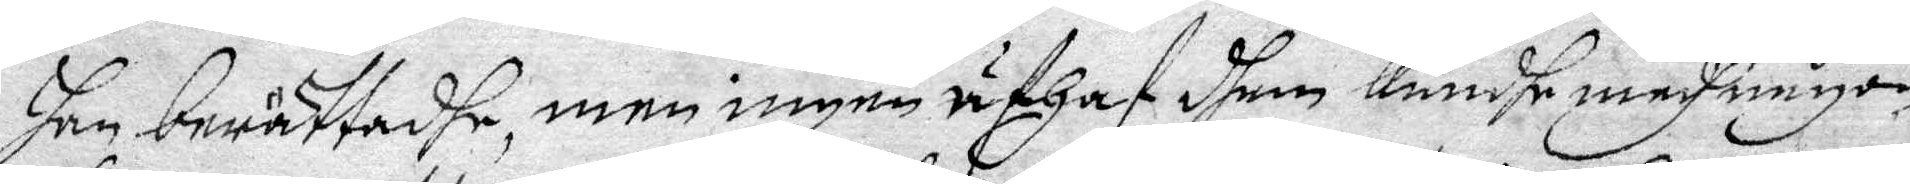han beräftadhe, men ingen uthaf dhem kundhe medh någon
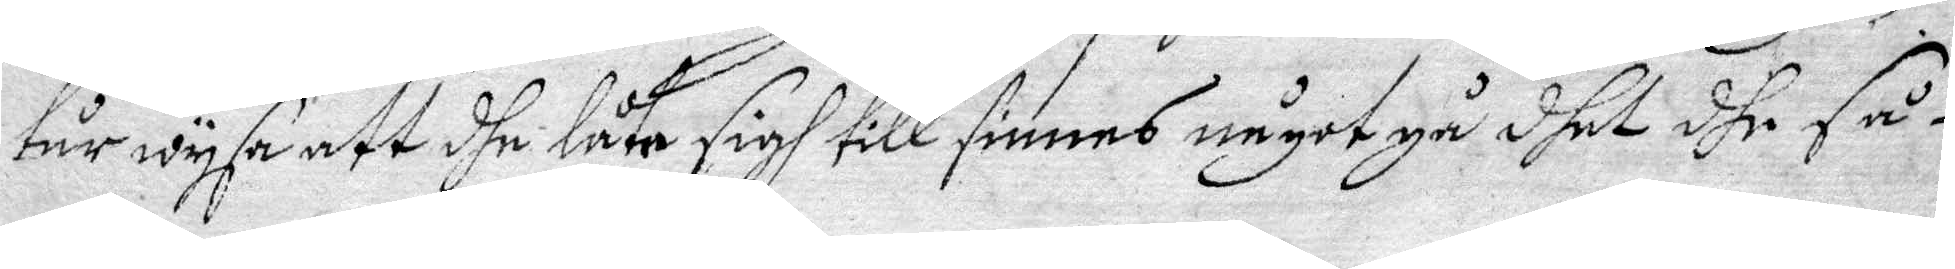tår wyse att dhe låta sigh till sinnes något gå dhet dhe så¬
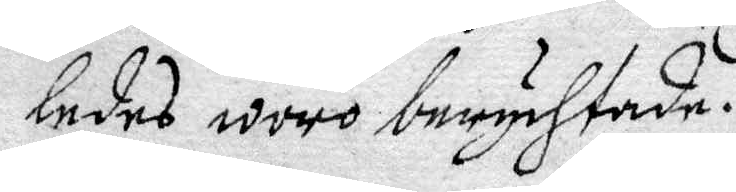ledes woro berychtade.
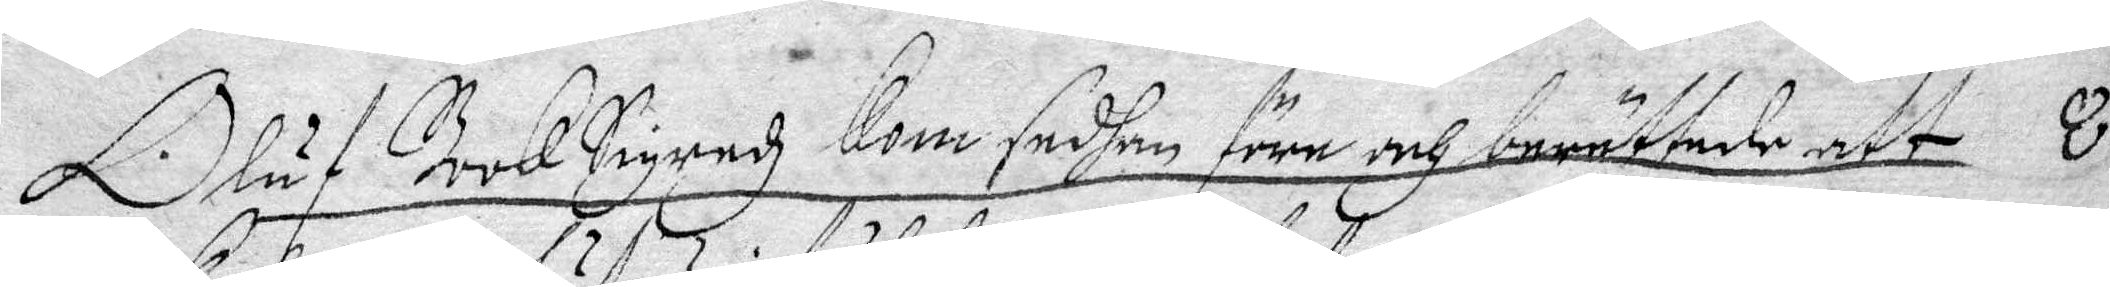Oluf BookSigredz kom sedhan före och berättade att 8
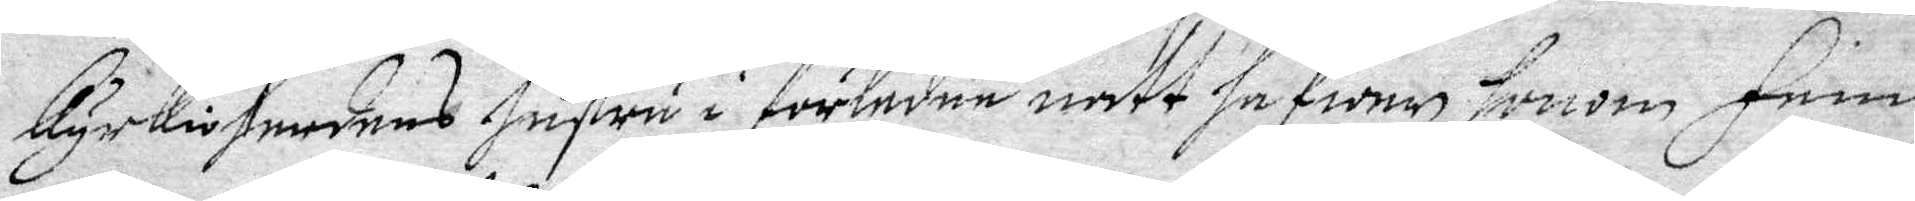kyrkioherdens hustru i förledne natt hafwer honom Fem
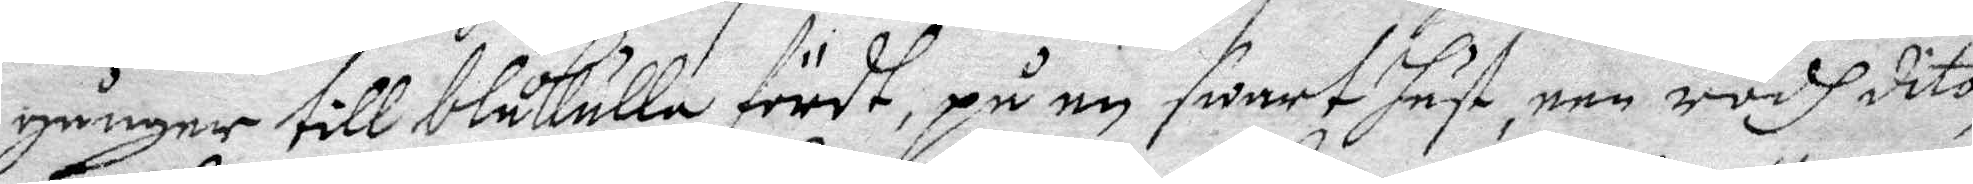gånger till blåkulla fördt, på en swart häst, een rödh dito,
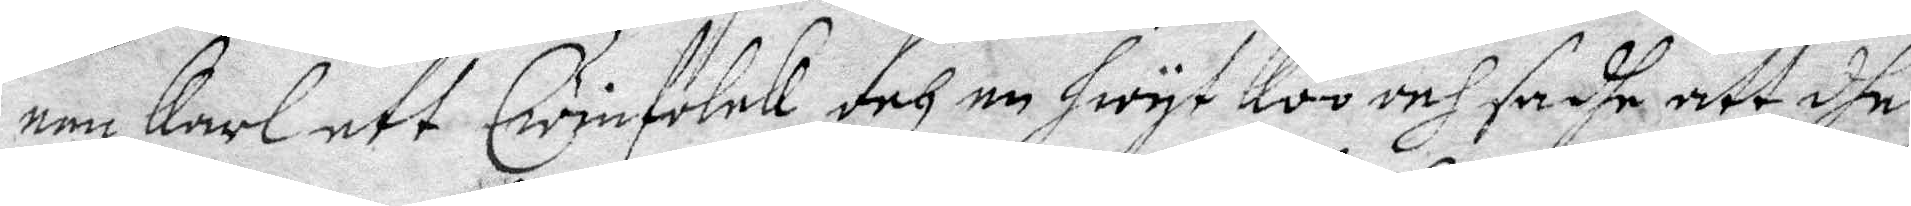een Karl ett Qwinfolck och en hwyt koo och sadhe att dhe
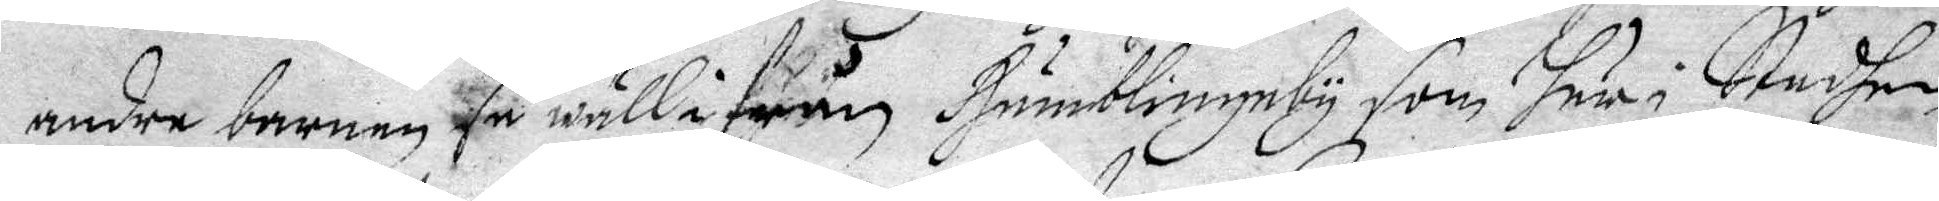andra barnen så wäll ifrån Humblingeby som här i Stadhen
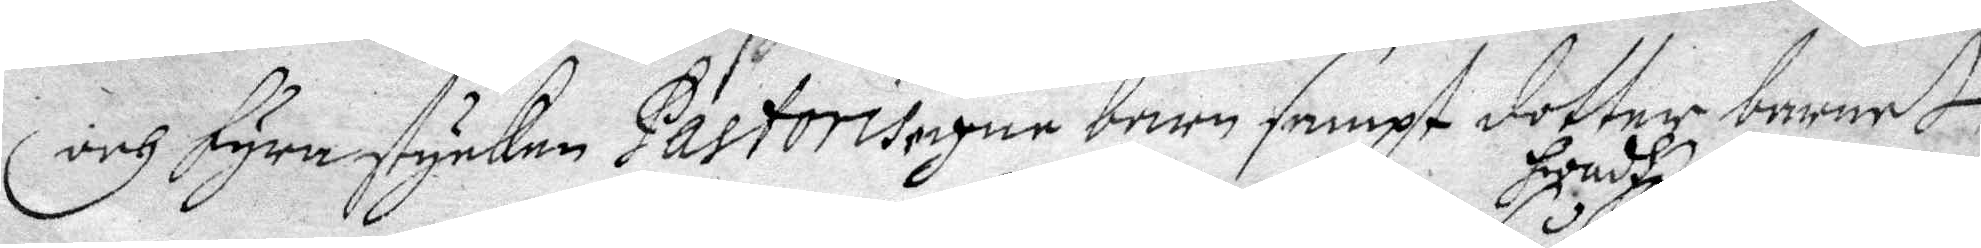och fyra stycken Pastoris egne barn sampt dotter barnet
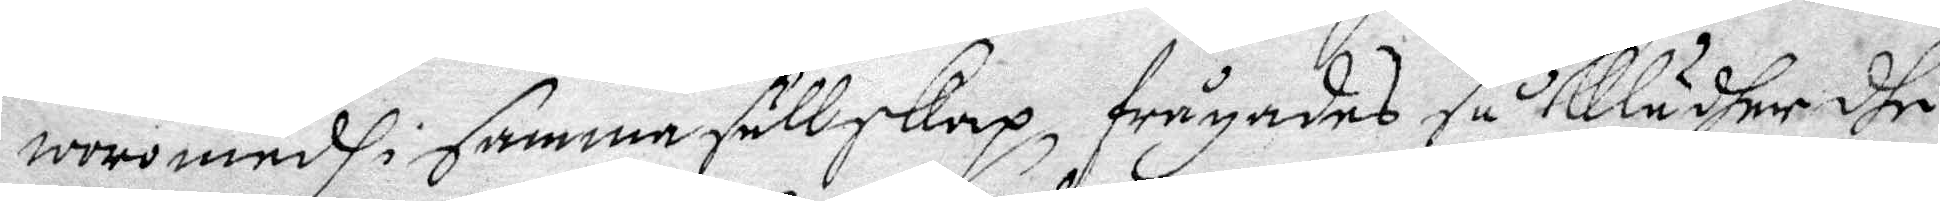woro medh i samma sällskap, frågades så hwadh klädher dhe
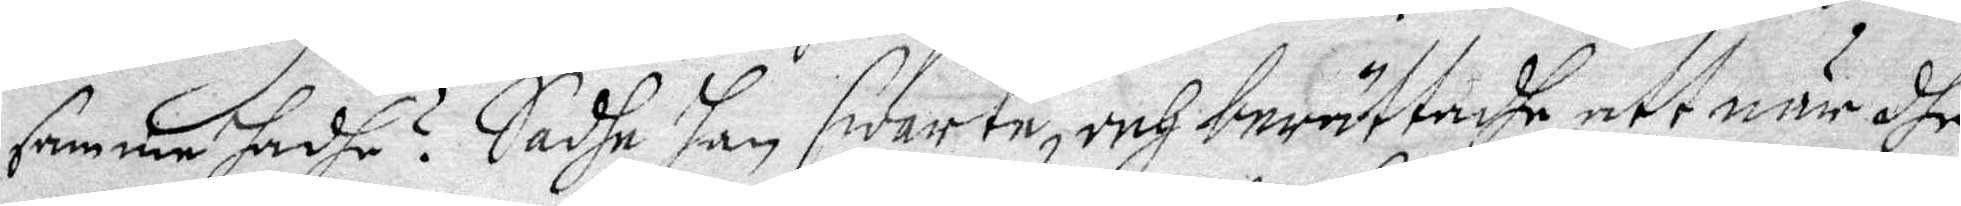samma hadhe? Sadhe han swarte, och berättadhe, att när dhe
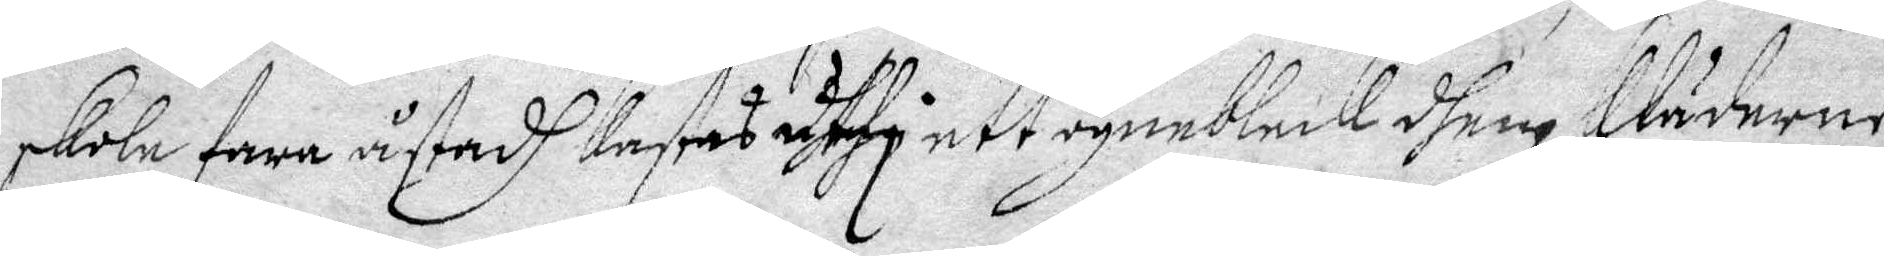skole fara åstadh kastas uthi ett ögneblick dhem kläderne
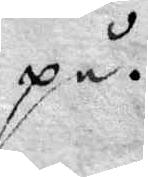på.
